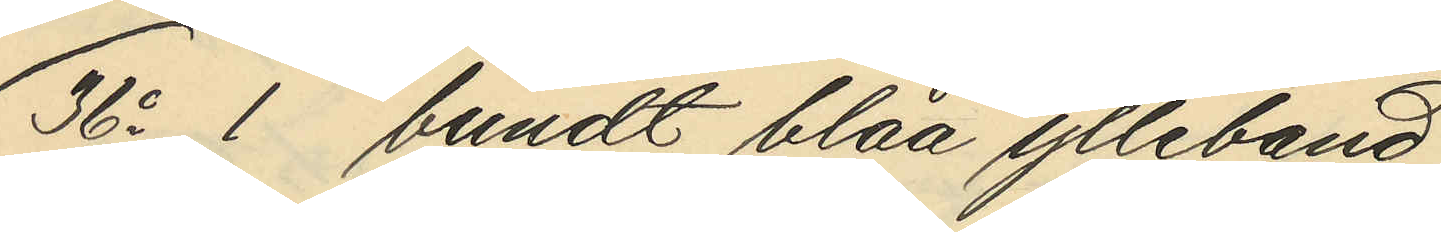36o 1 bundt blåa ylleband
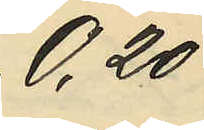0,20
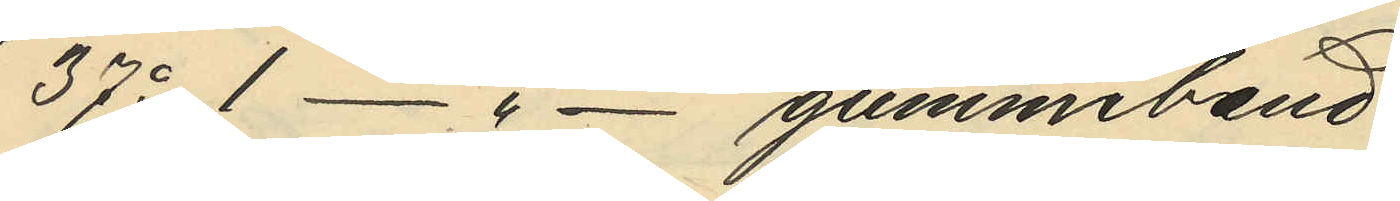37o 1 - " - gummiband
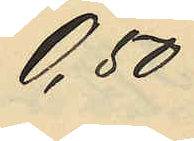0,50
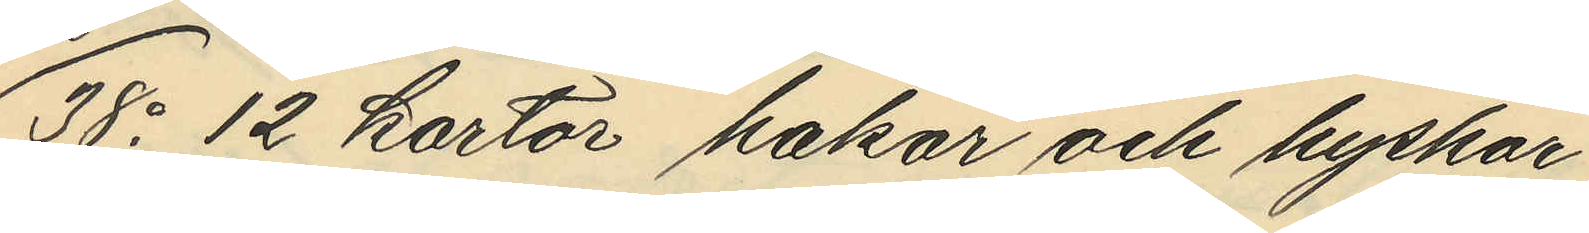38o 12 kartor hakar och hyskar
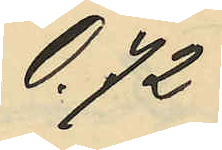0,72
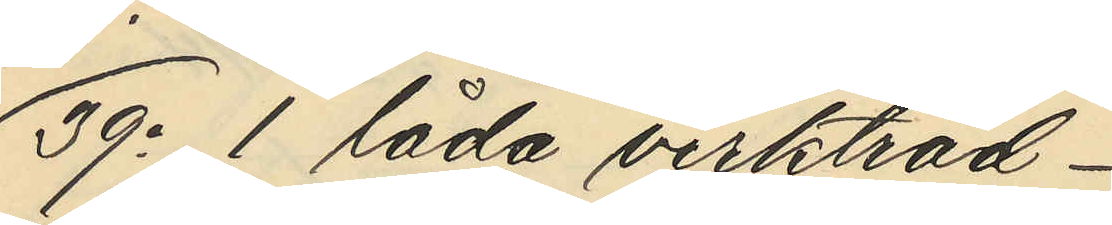39o 1 låda virktråd
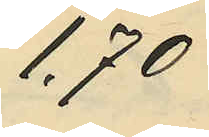1,70
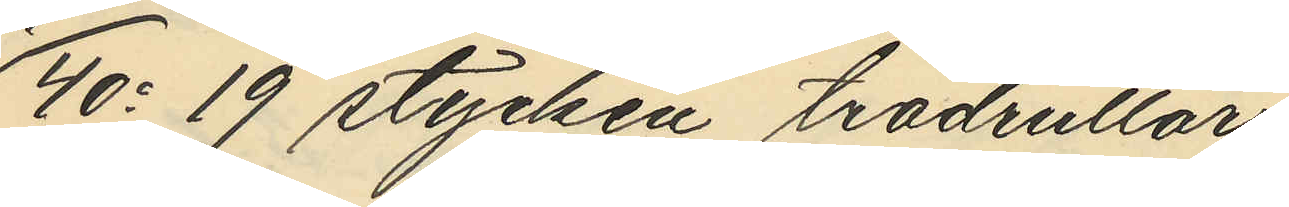40o 19 stycken trådrullar
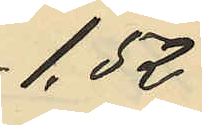1,52
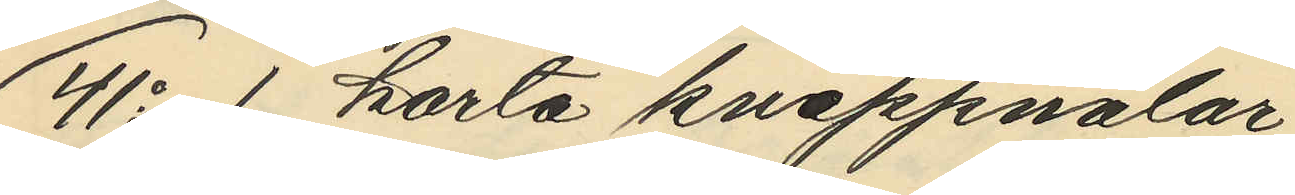41o 1 karta knappnålar
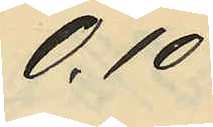0,10
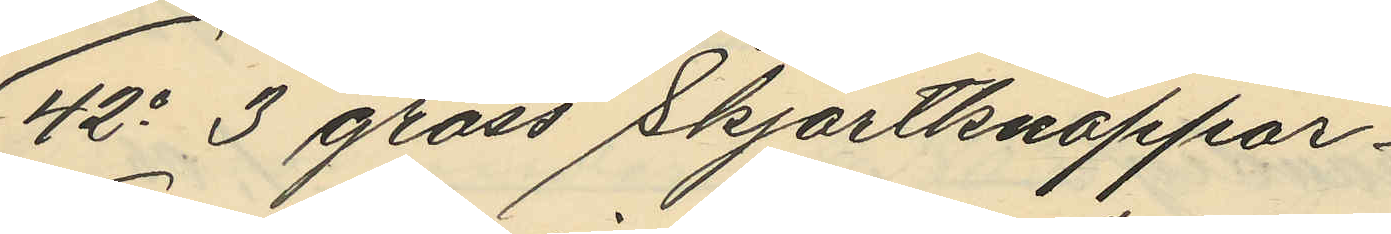42o 3 gross Skjortknappar
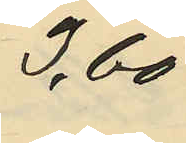3,60
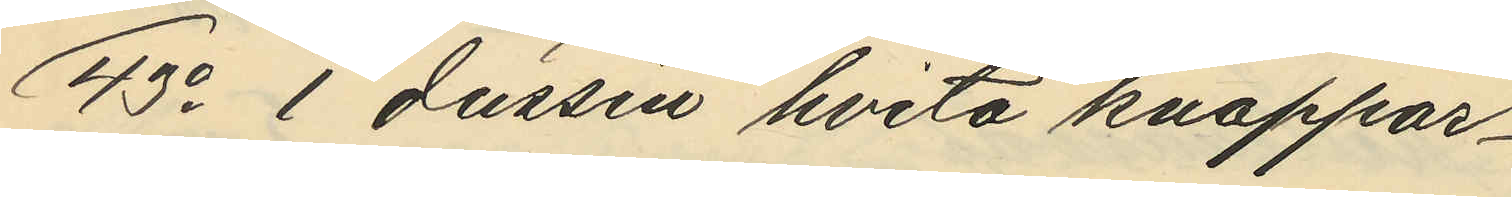43o 1 dussin hvita knappar
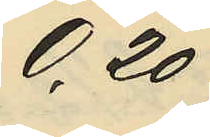0,20
